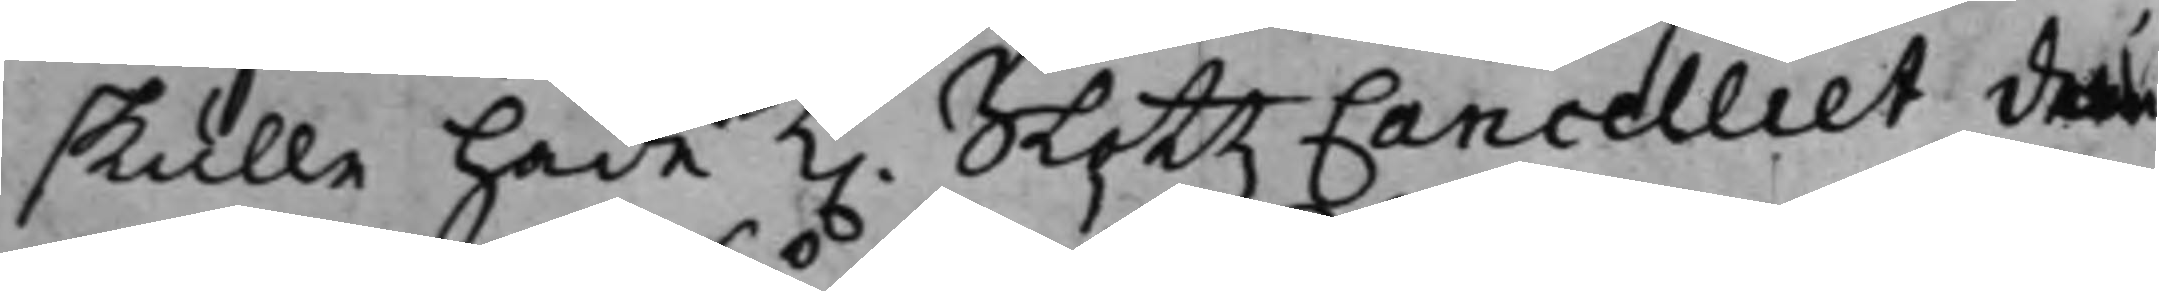skulle hade K. SlottzCancelliet der¬
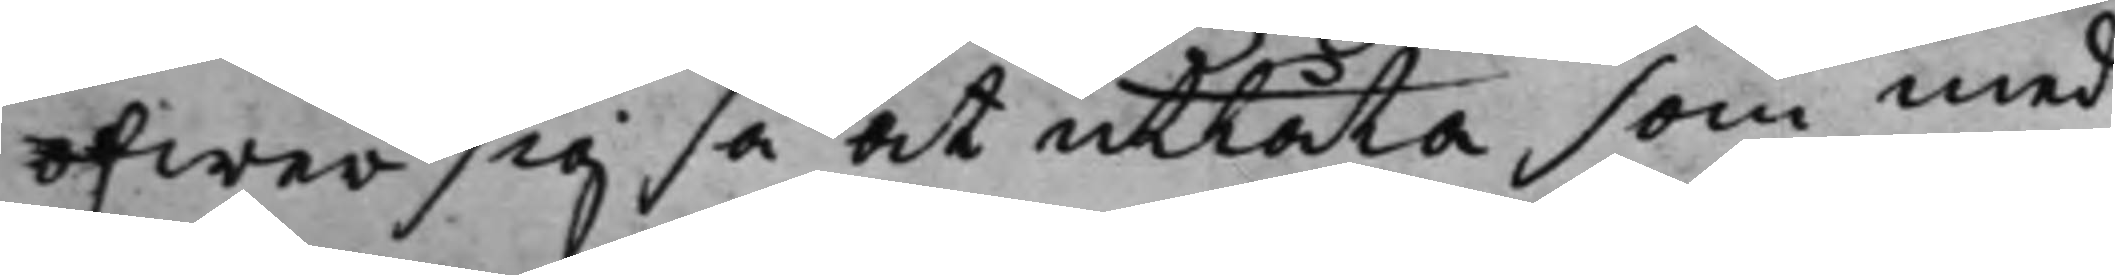öfwer sig så at utlåta som med
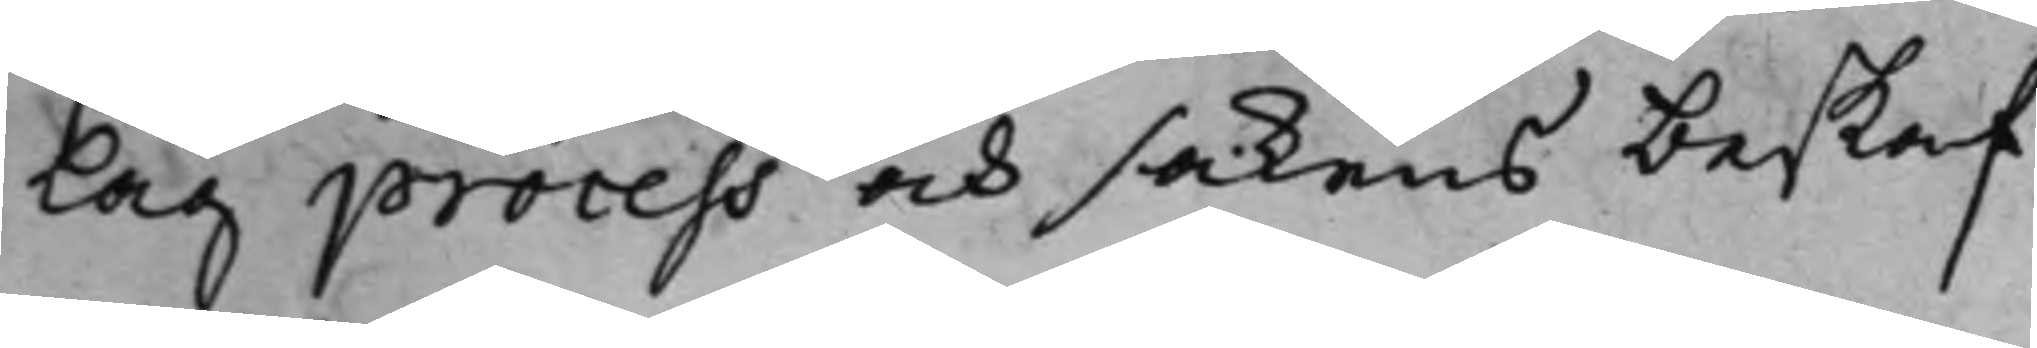Lag process och sakens beskaf¬
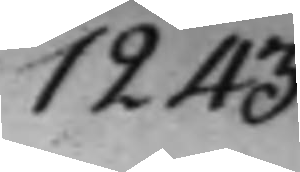1243.
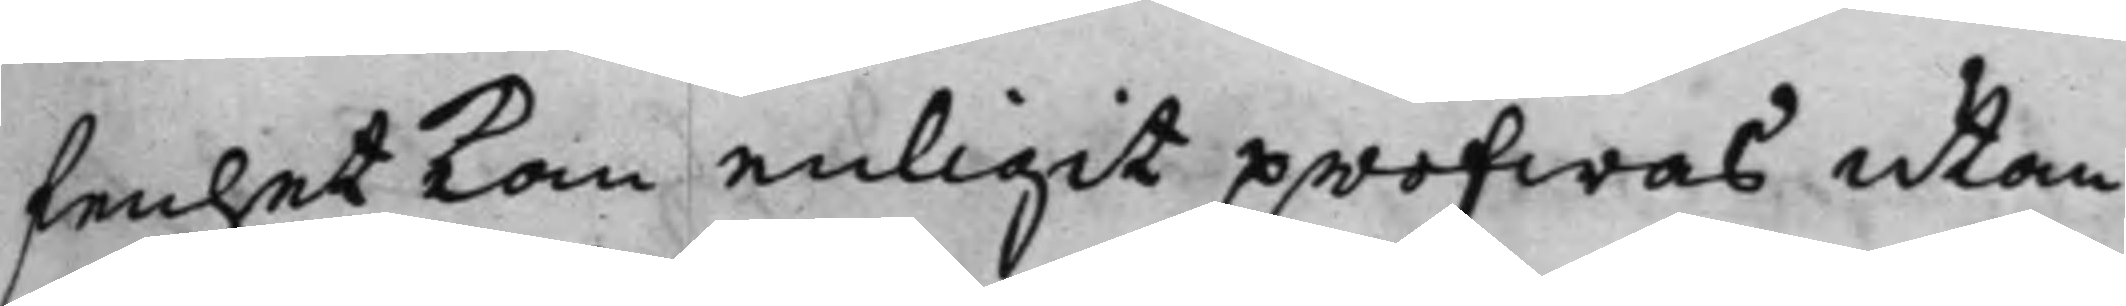fenhet kan enligit pröfwas utan
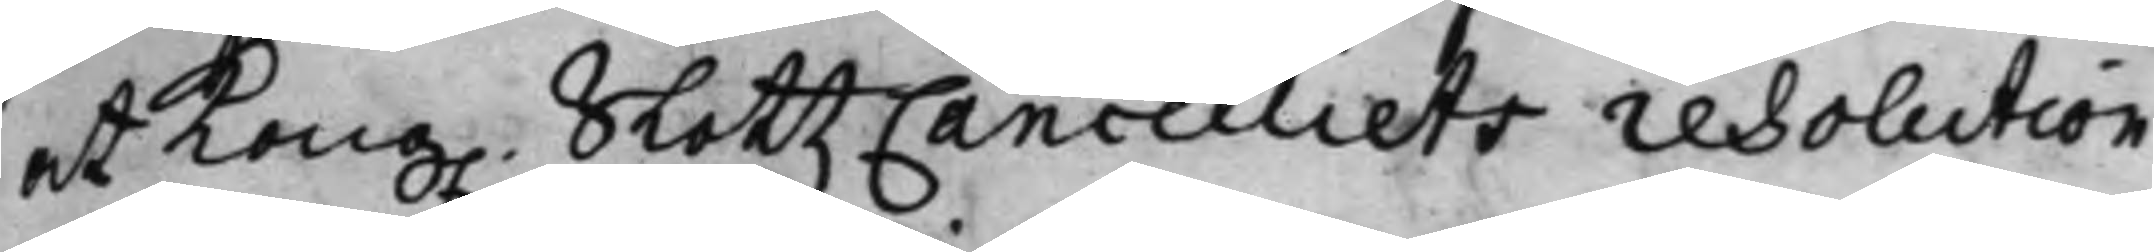at Kong. SlottzCancelliets resolution
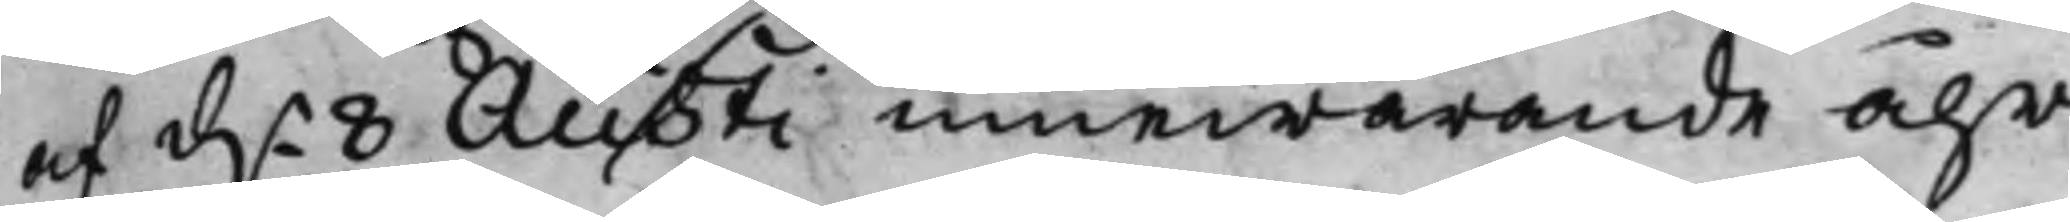af d.n 8 Austi innewarande åhr
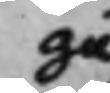gu
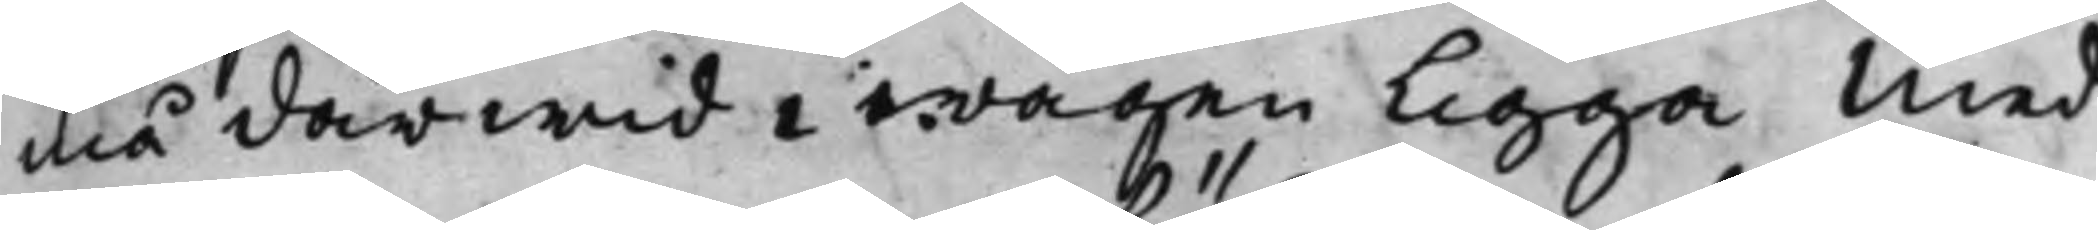må därwid i wägen ligga Med
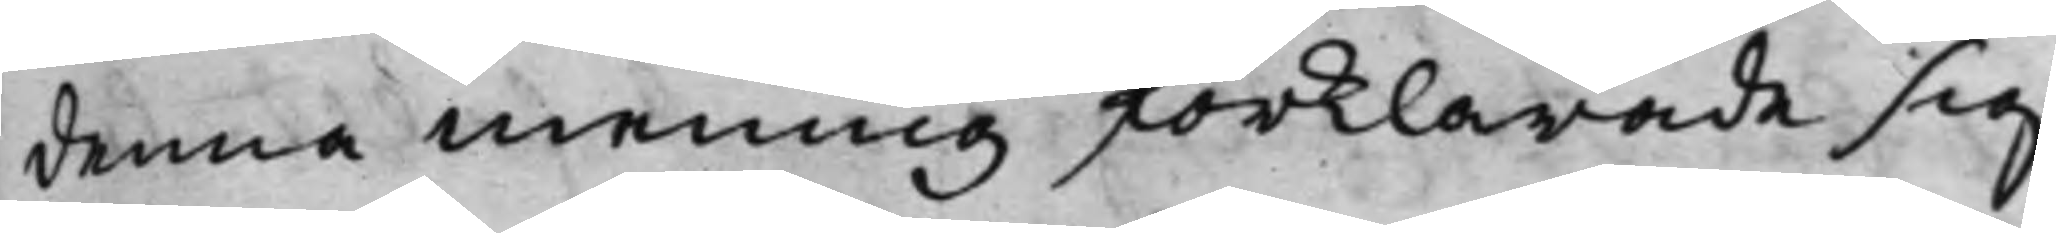denna mening förklarade sig
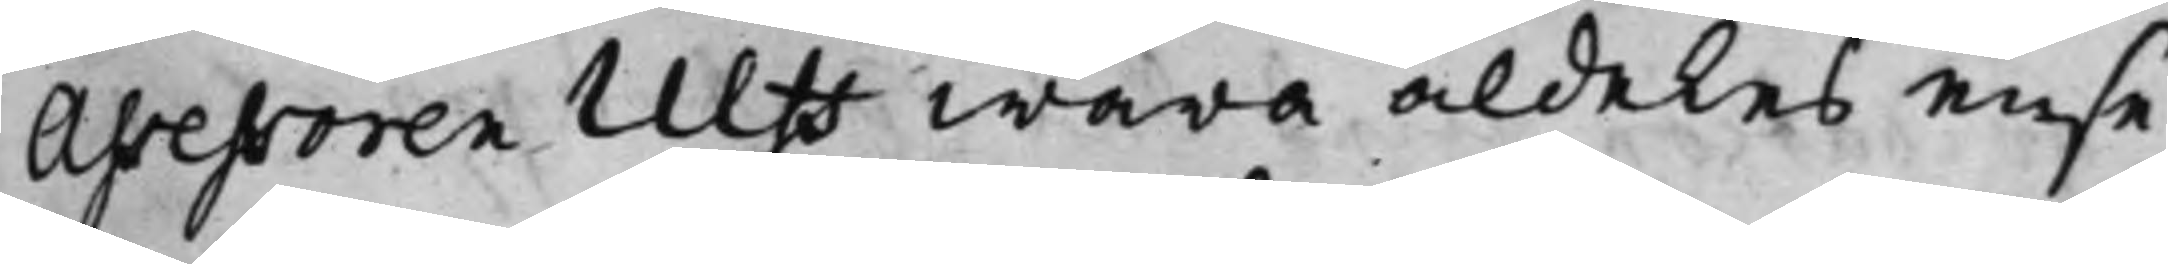Assessoren Ulff wara aldeles ense
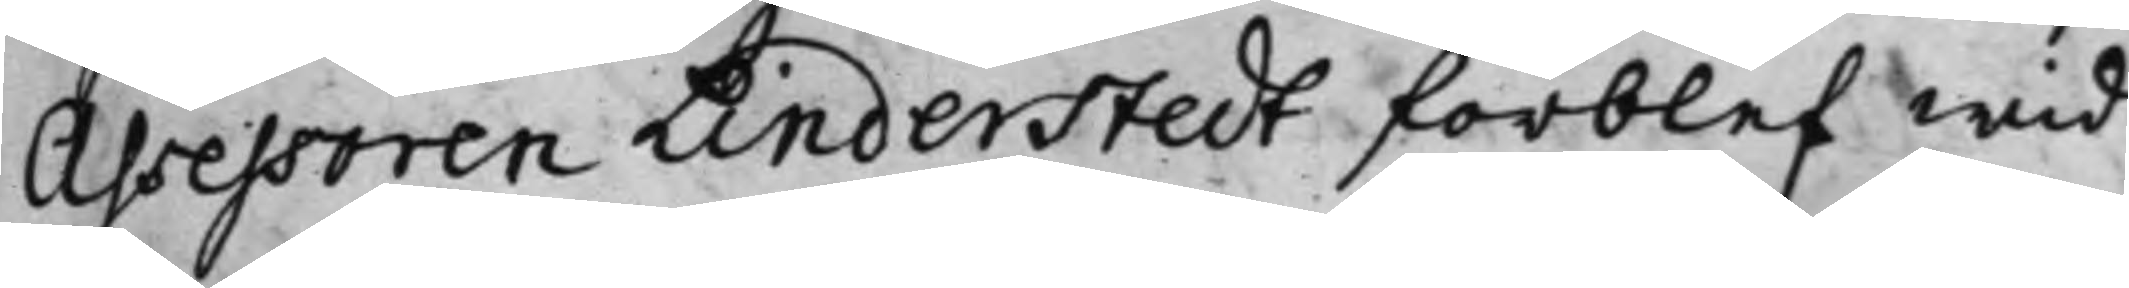Assessoren Linderstedt förblef wid
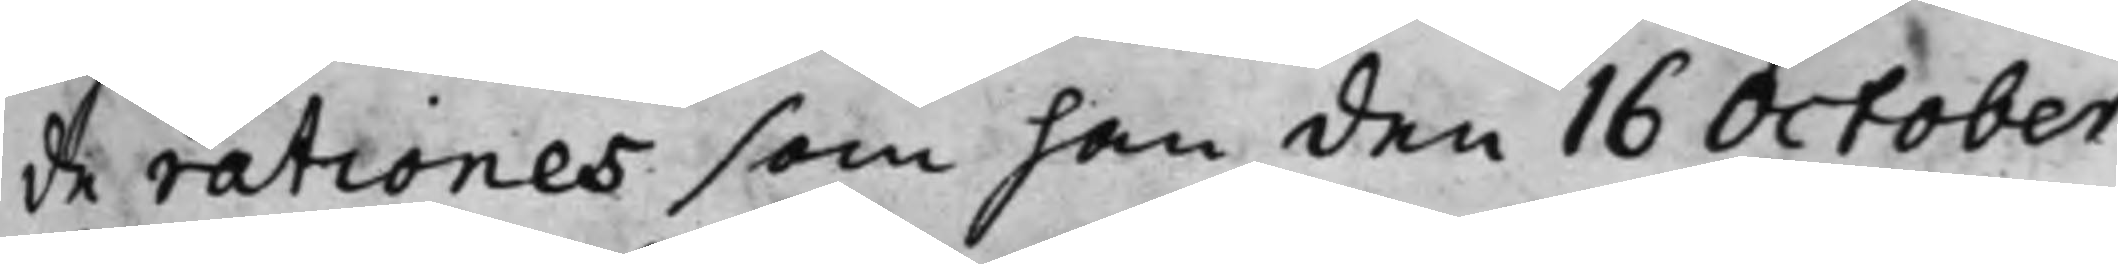de rationes som han den 16 October
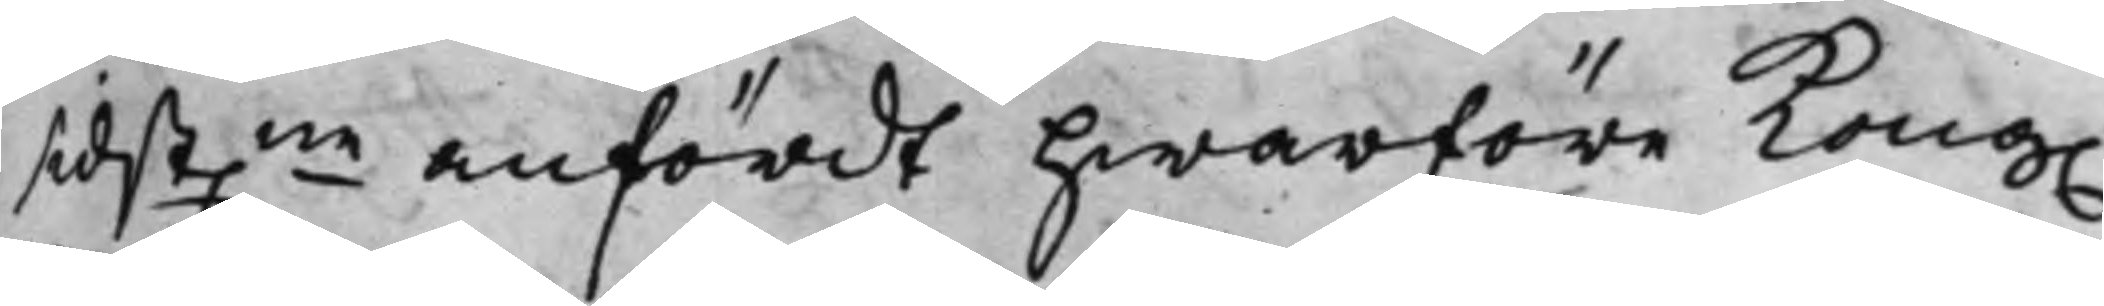sidst.ne anfördt hwarföre Kong.
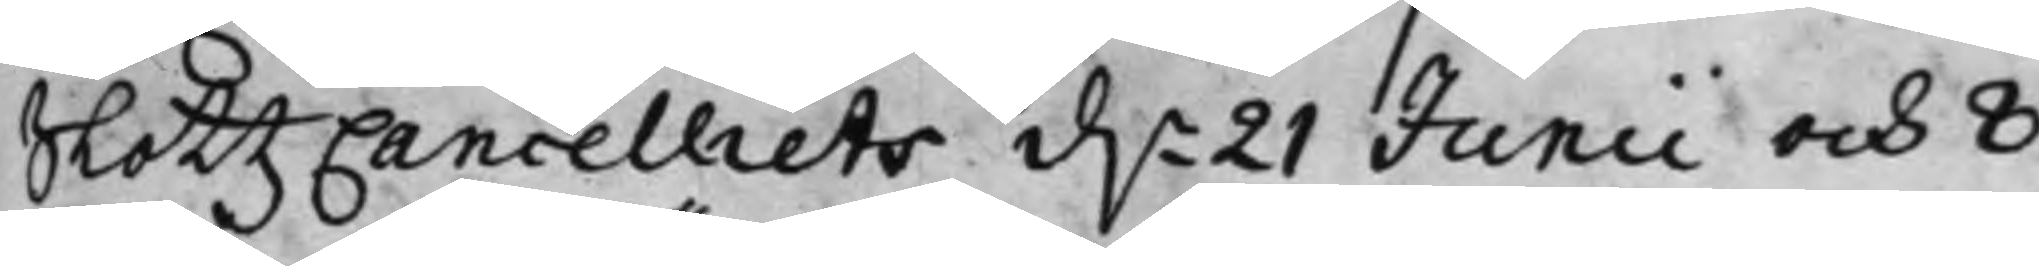SlottzCancelliets d.n 21 Junii och 8
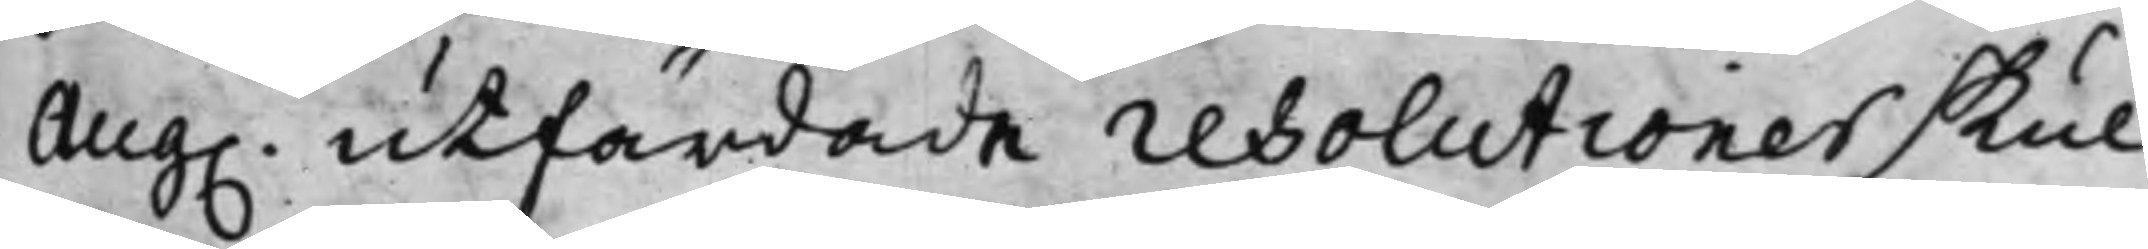Aug. utfärdade resolutioner skul¬
